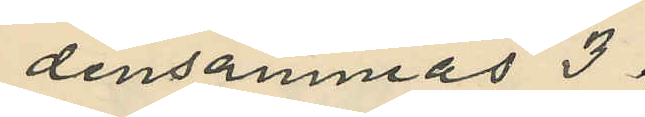densammas 3
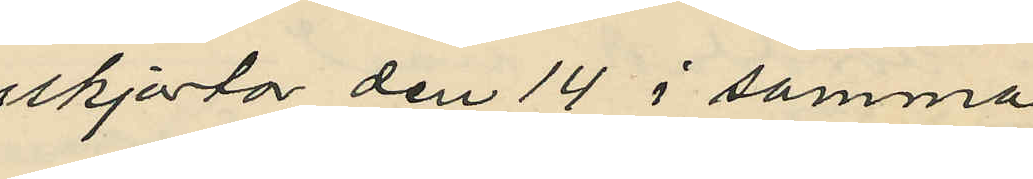skjortor den 14 i samma
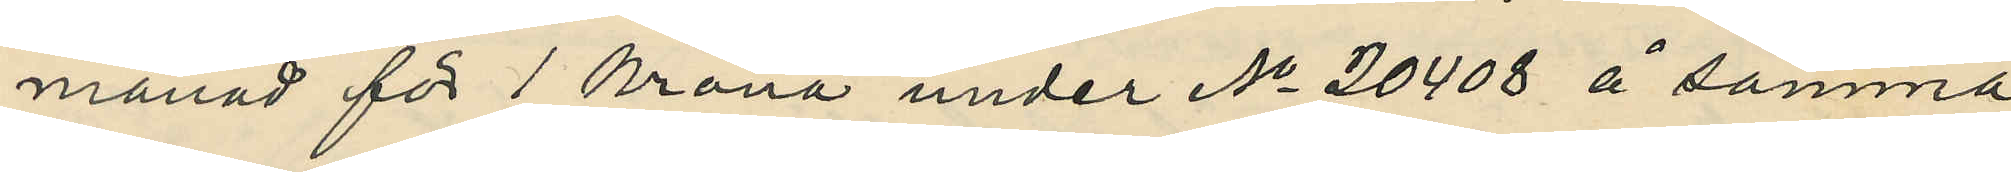månad för 1 krona under No 20408 å samma
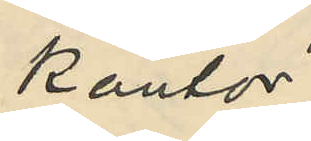kontor;
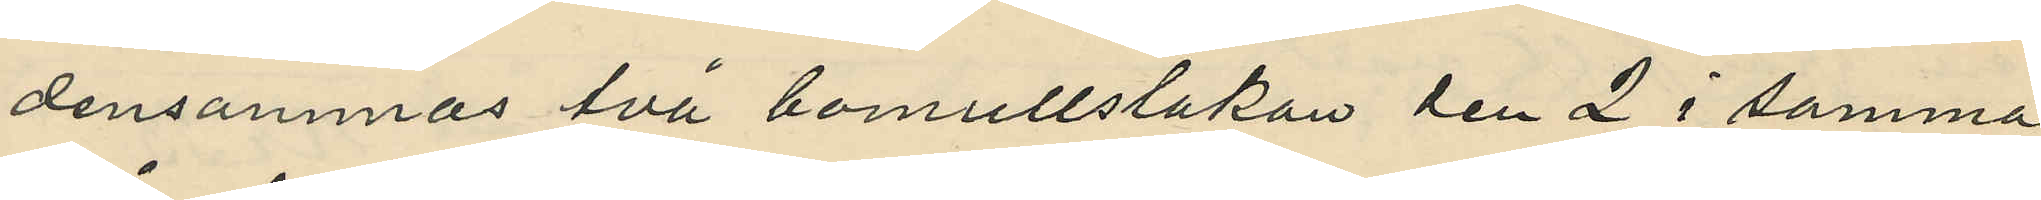densammas två bomullslakan den 2 i samma
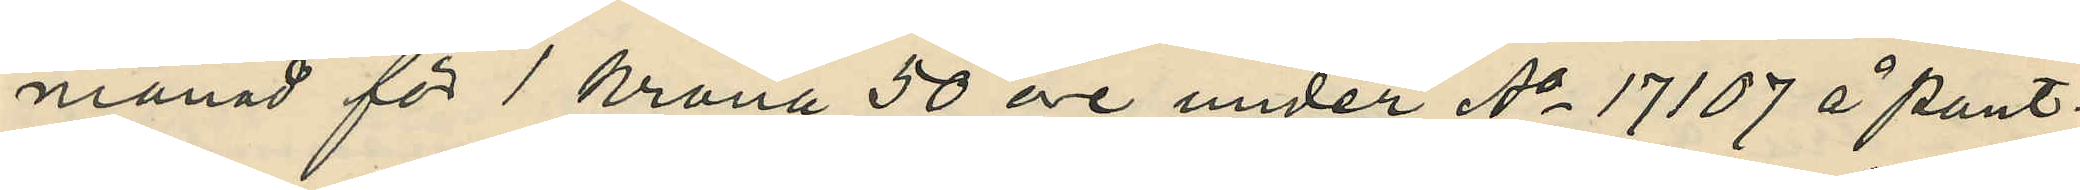månad för 1 krona 50 öre under No 17107 å Pant¬
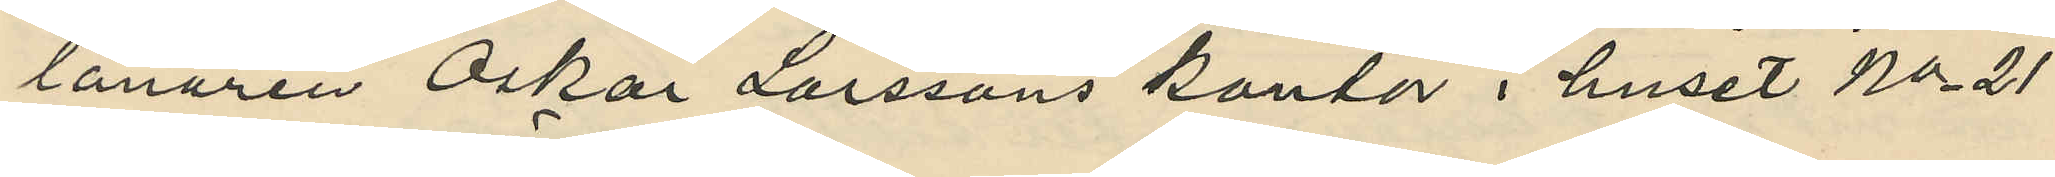lånaren Oskar Larssons kontor i huset No 21
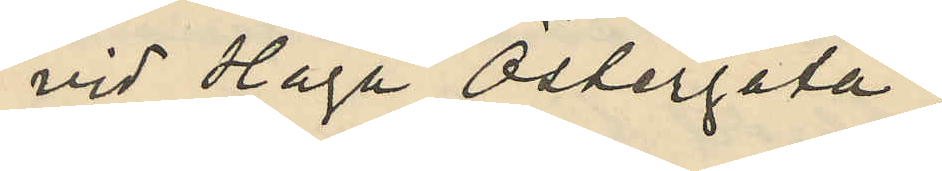vid Haga Östergata;
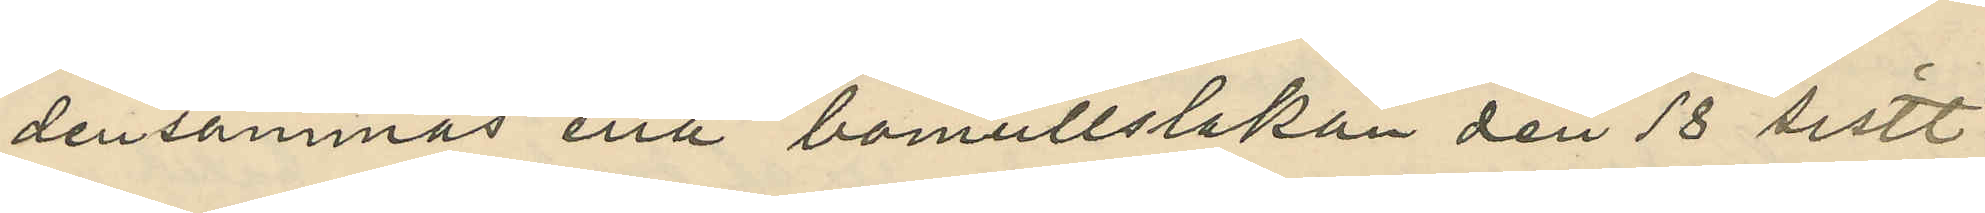densammas ena bomullslakan den 18 sistl.
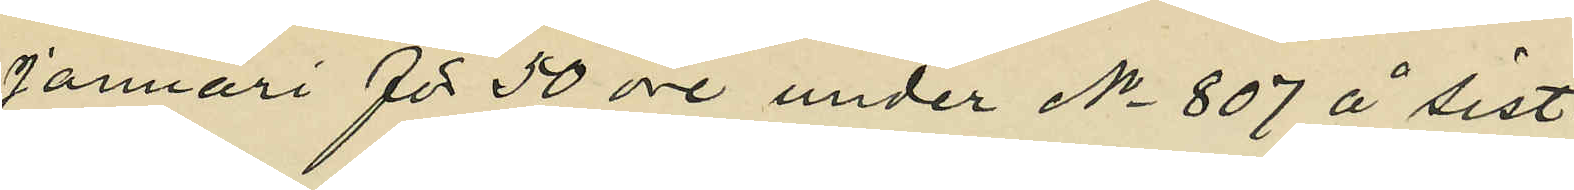Januari för 50 öre under No 807 å sist¬
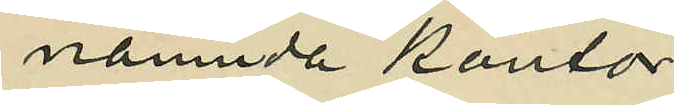nämnda kontor;
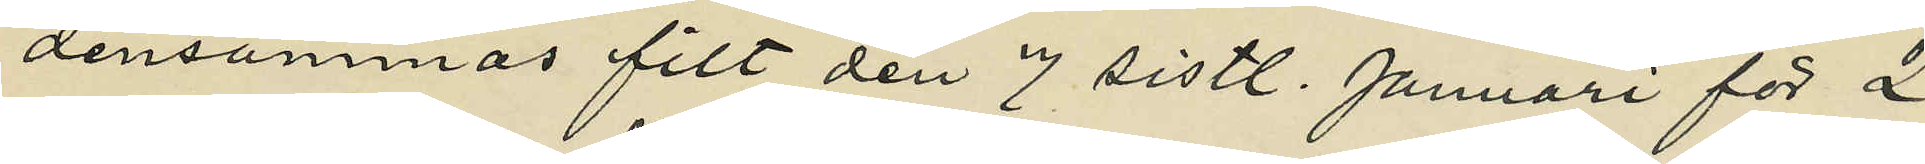densammas filt den 7 sistl. Januari för 2
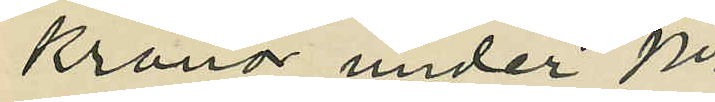kronor under No
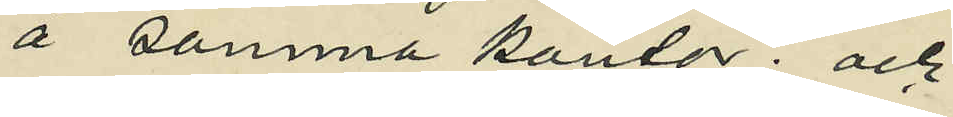å samma kontor; och
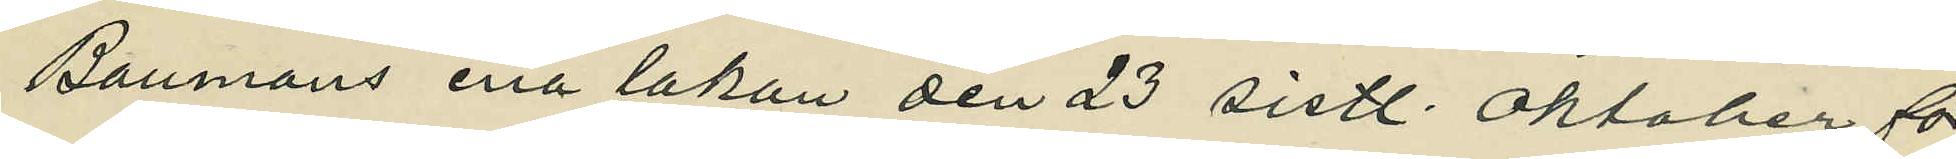Baumans ena lakan den 23 sistl. Oktober för
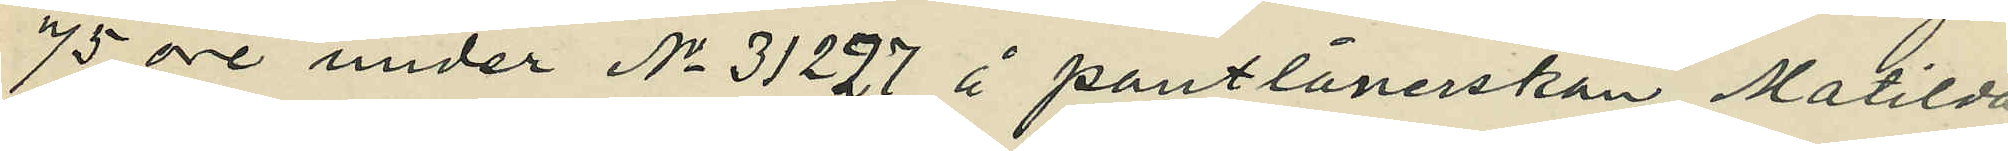75 öre under No 31227 å pantlånerskan Matilda
